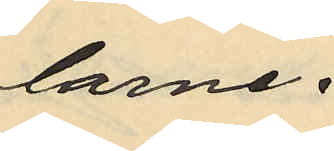larne.
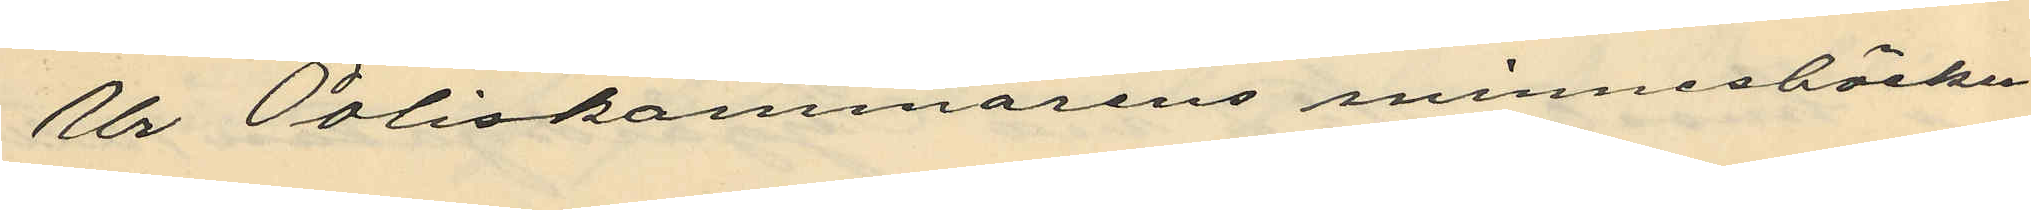Ur Poliskammarens minnesböcker
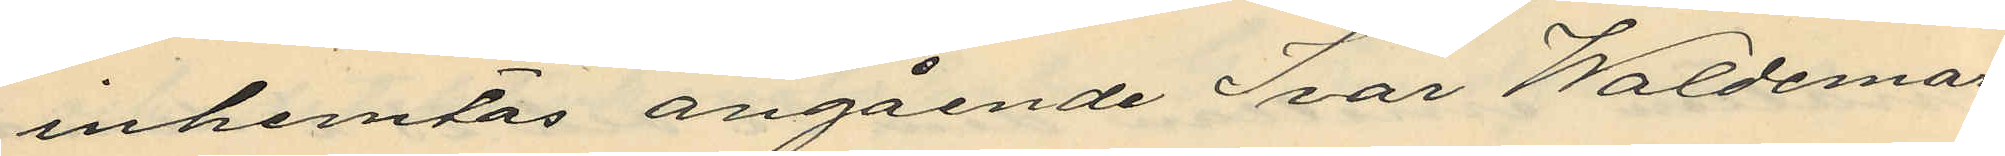inhemtas angående Ivar Waldemar
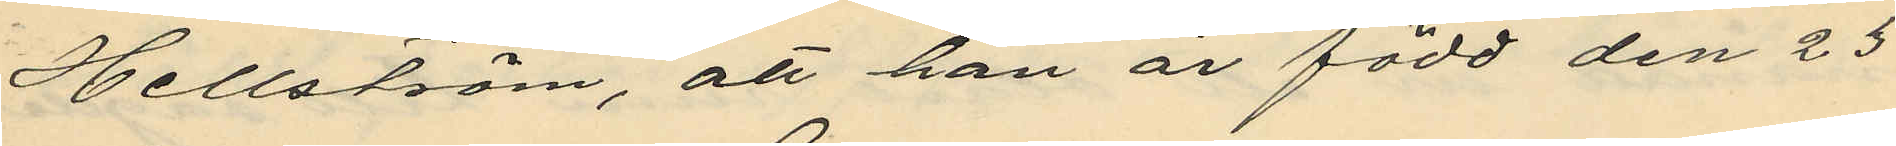Hellström, att han är född den 23
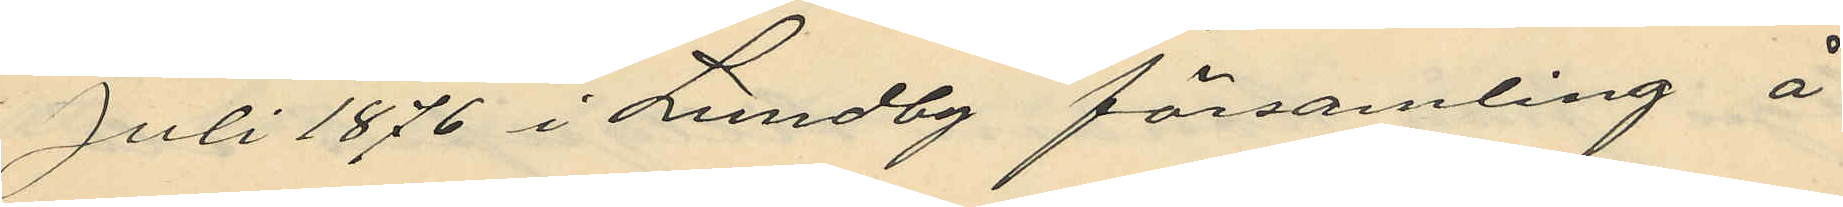Juli 1876 i Lundby församling å
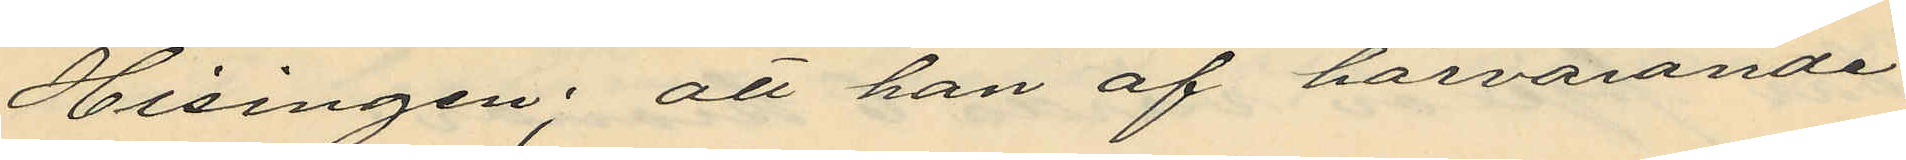Hisingen; att han af härvarande
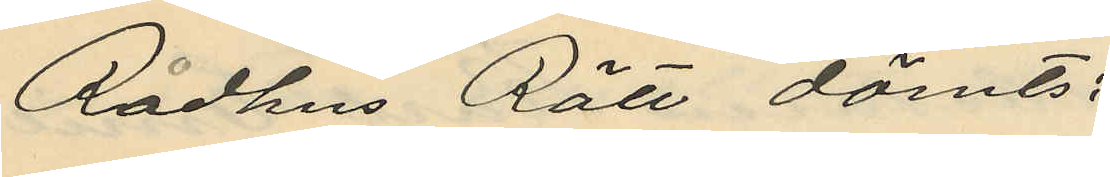Rådhus Rätt dömts:
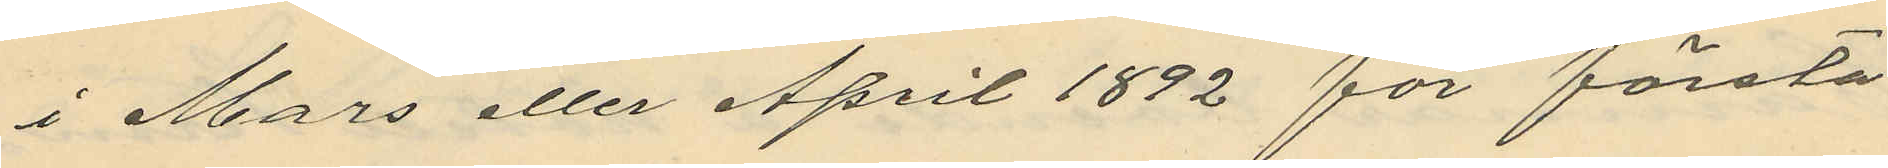i Mars eller April 1892 för första
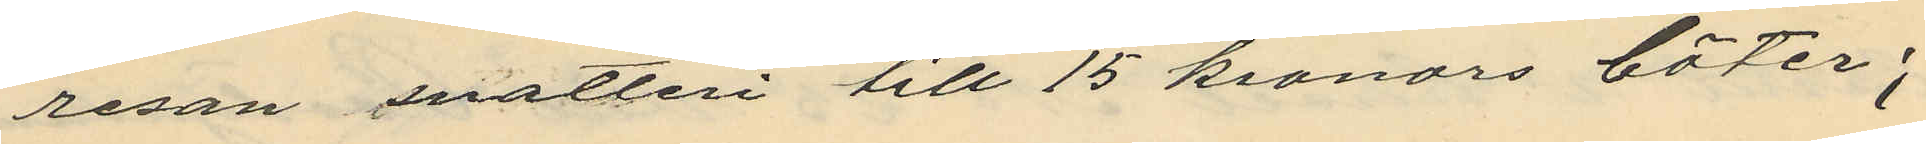resan snatteri till 15 kronors böter;
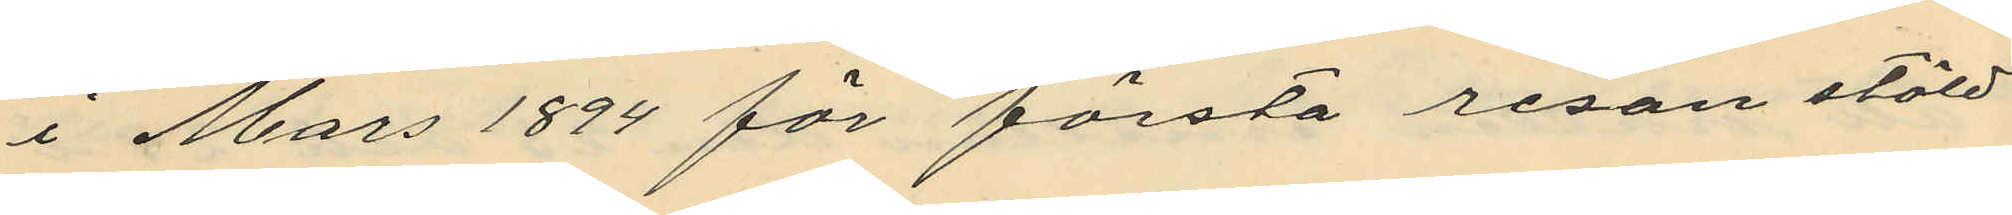i Mars 1894 för första resan stöld
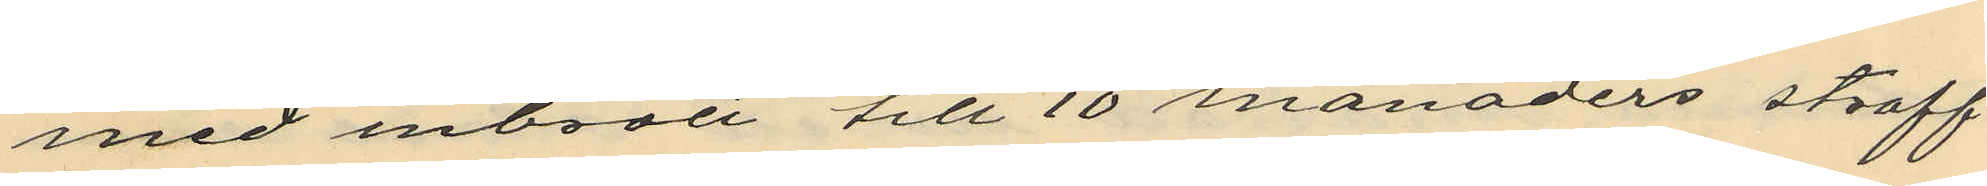med inbrott till 10 månaders straff¬
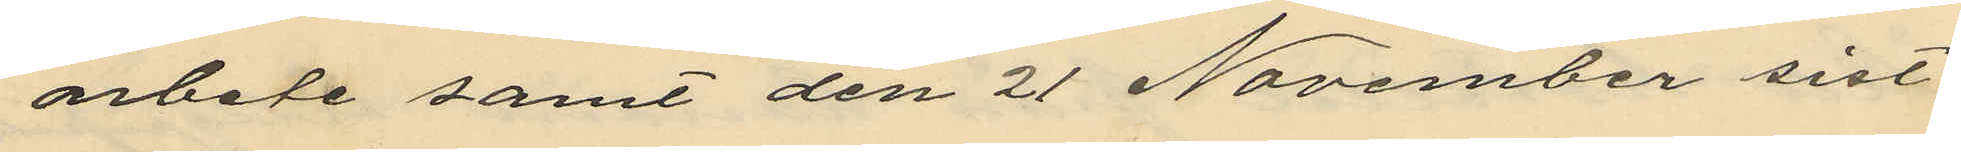arbete samt den 21 November sist¬
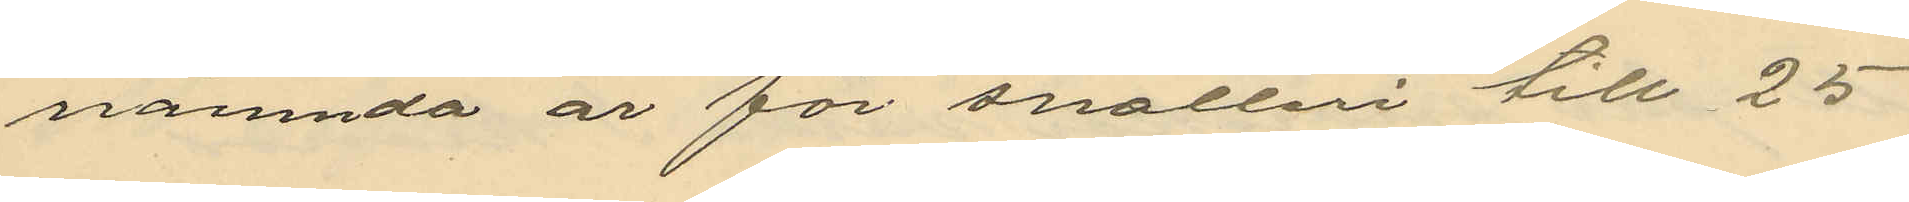nämnda år för snatteri till 25
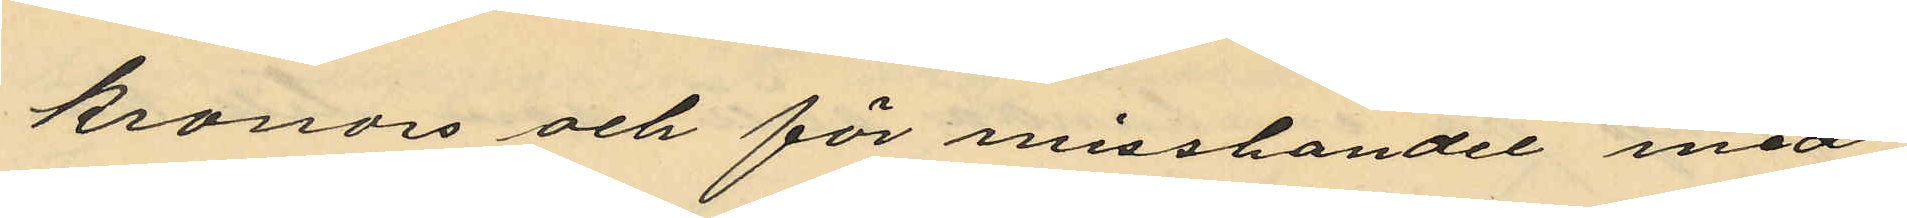kronors och för misshandel med
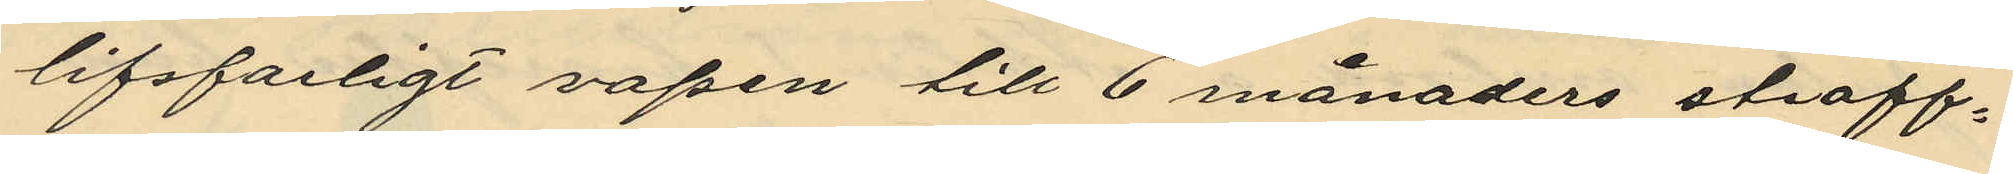lifsfarligt vapen till 6 månaders straff¬
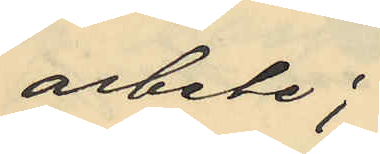arbete;
